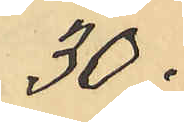30:
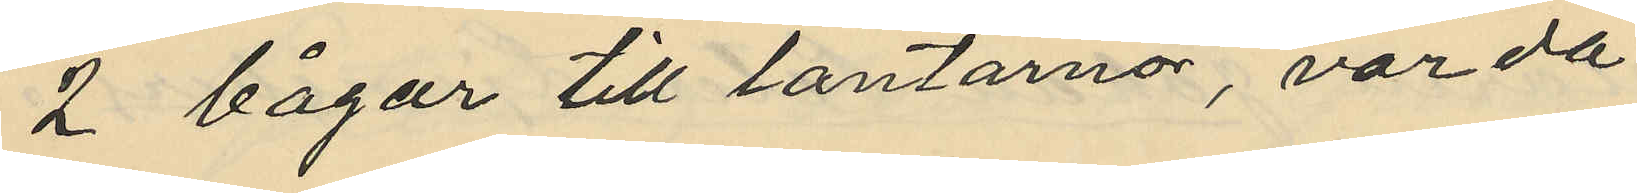2 bågar till lantärnor, värda
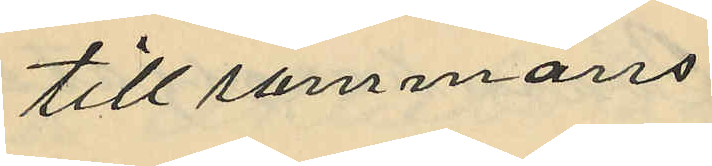till sammans
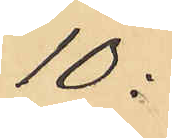10:
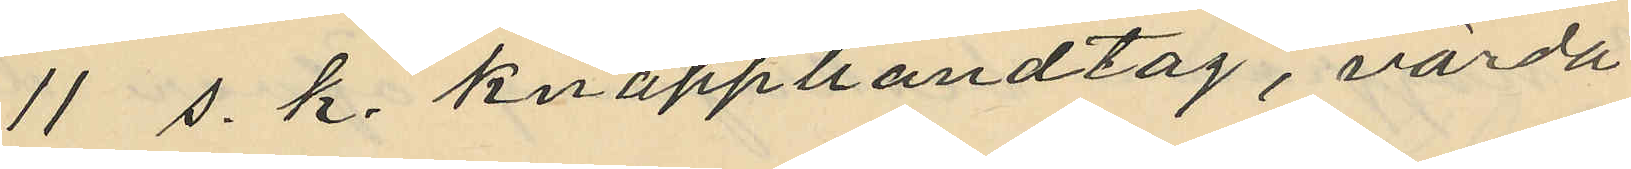11 s. k. knapphandtag, värda
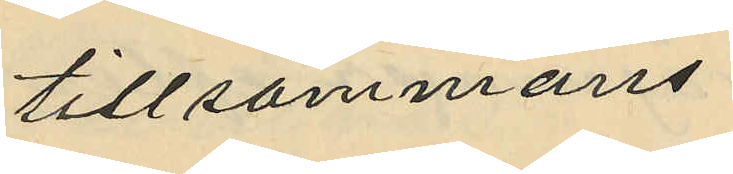tillsammans
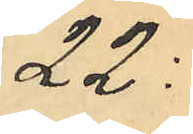22:
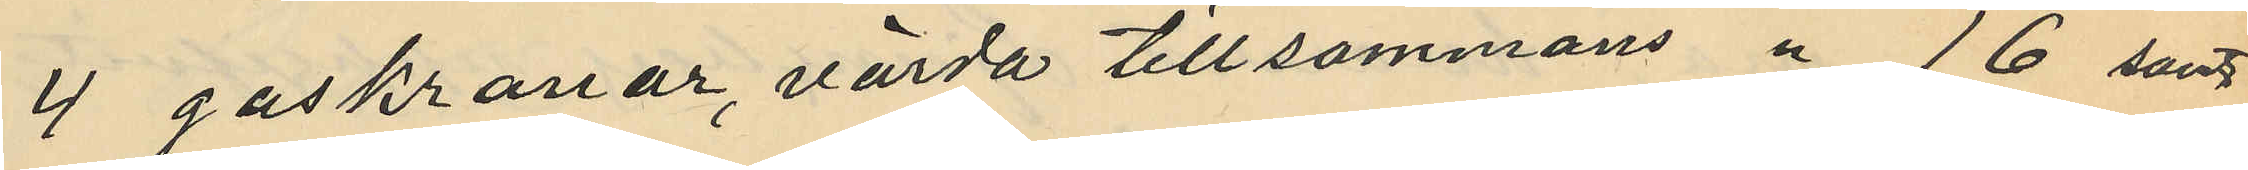4 gaskranar, värda tillsammans " 16 samt
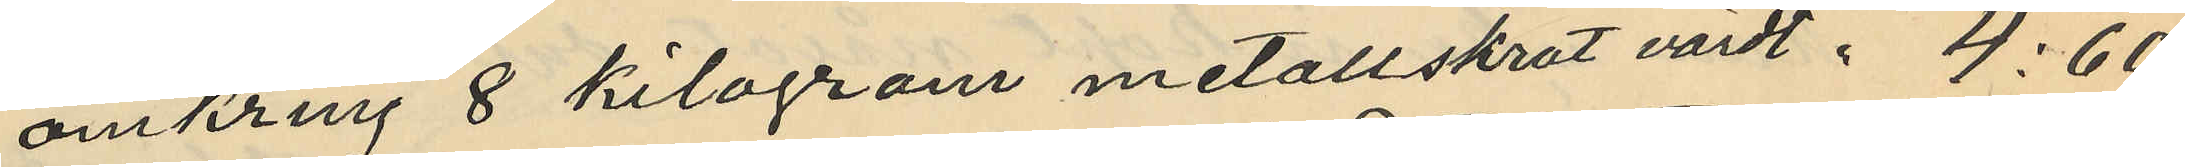omkring 8 kilogram metallskrot värdt " 4:60
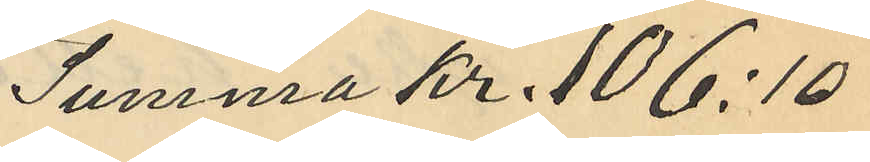Summa kr. 106:10
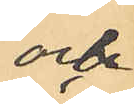och
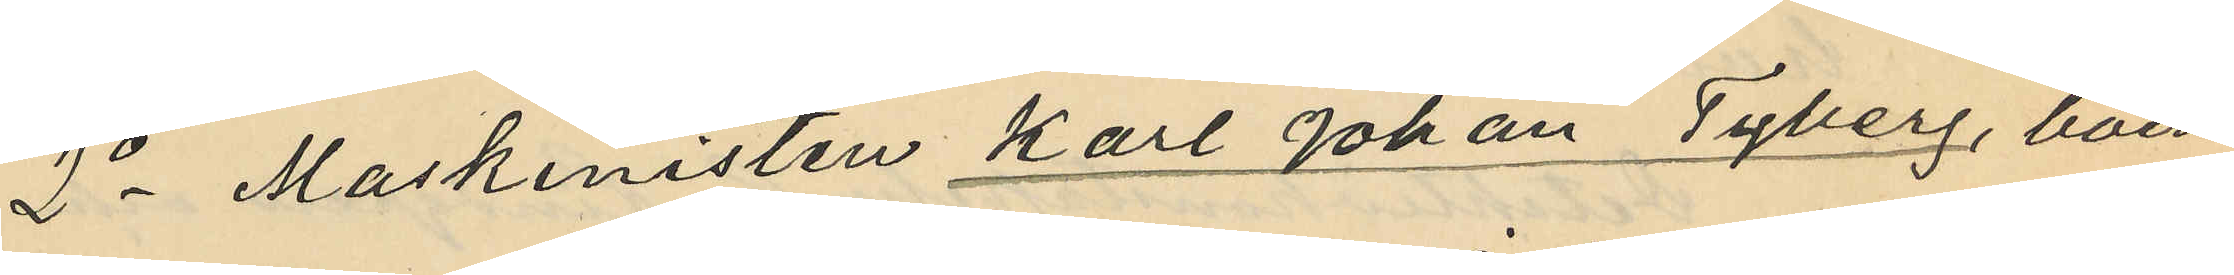2o Maskinisten Karl Johan Tyberg, boen¬
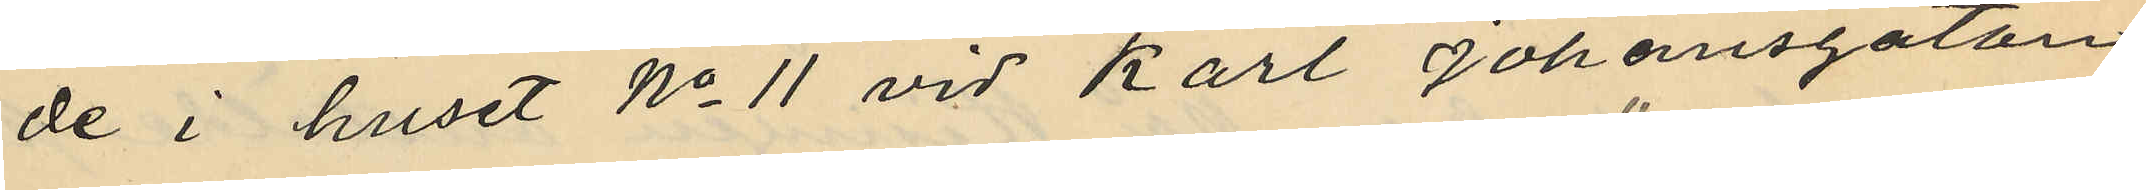de i huset No 11 vid Karl Johansgatan
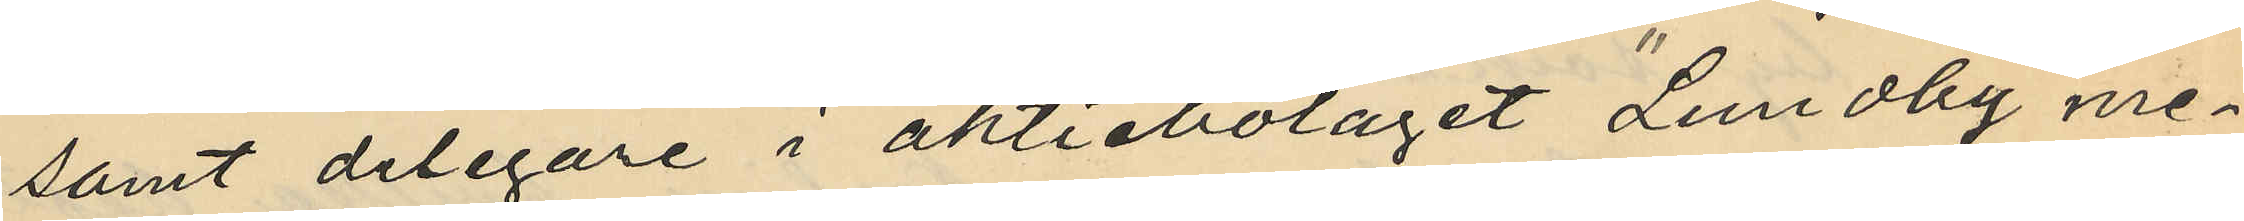samt delegare i aktiebolaget "Lundby me¬
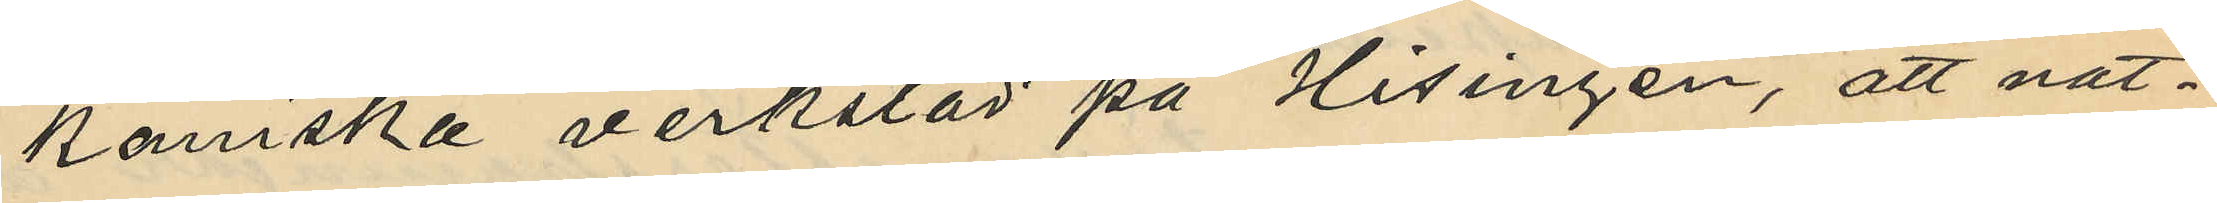kanska verkstad" på Hisingen, att nat¬
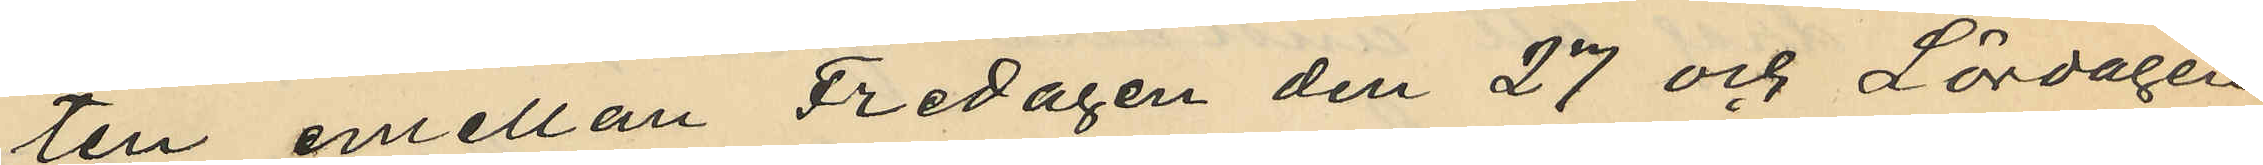ten emellan Fredagen den 27 och Lördagen
